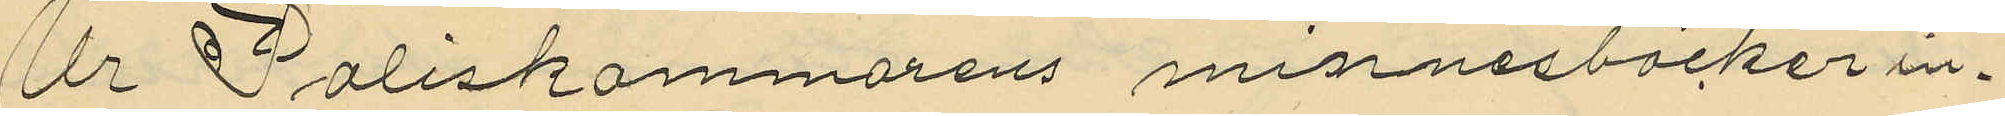Ur Poliskammarens minnesböcker in¬
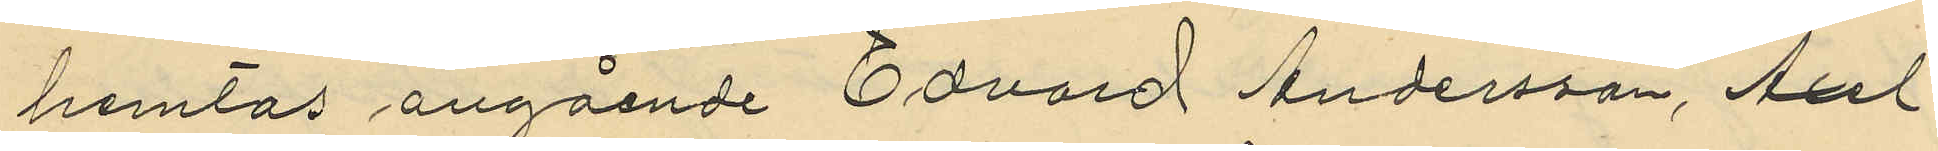hemtas angående Edvard Andersson, Axel
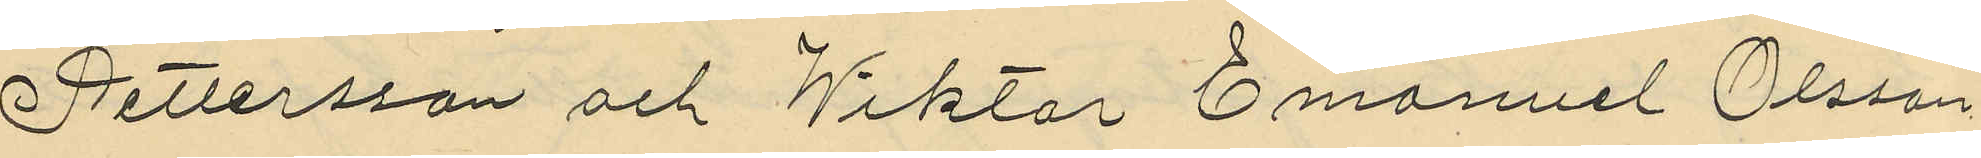Pettersson och Wiktor Emanuel Olsson
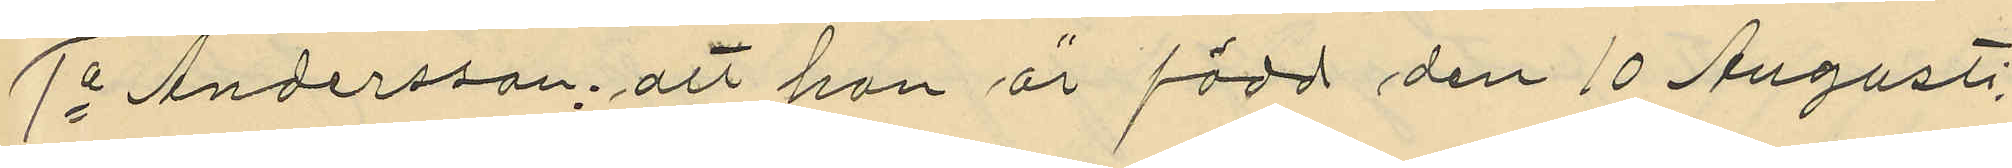1o Andersson, att han är född den 10 Augusti
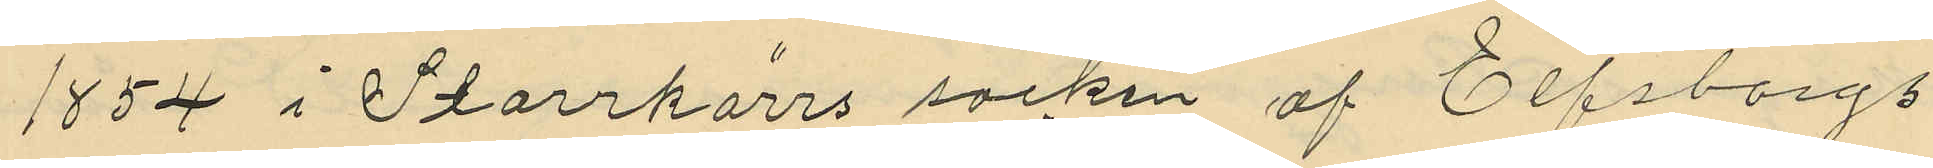1854 i Starrkärrs socken af Elfsborgs
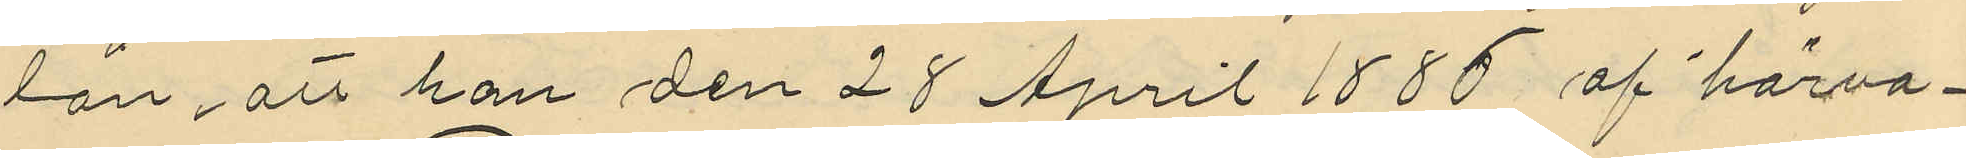län, att han den 28 April 1885 af härva¬
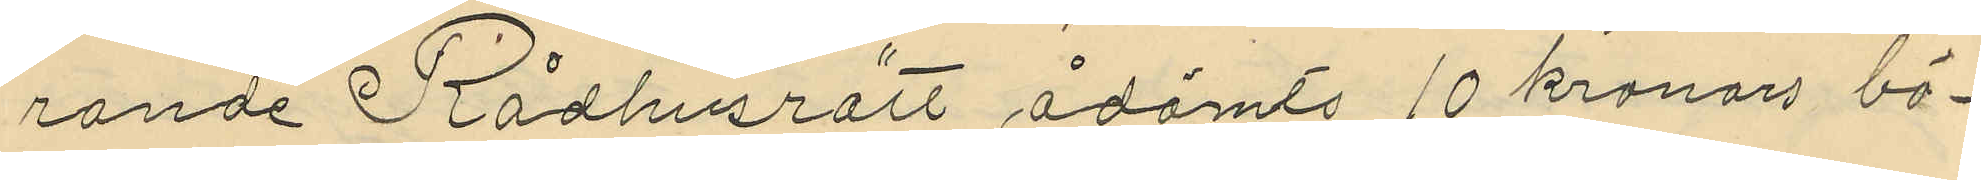rande Rådhusrätt ådömts 10 kronors bö¬
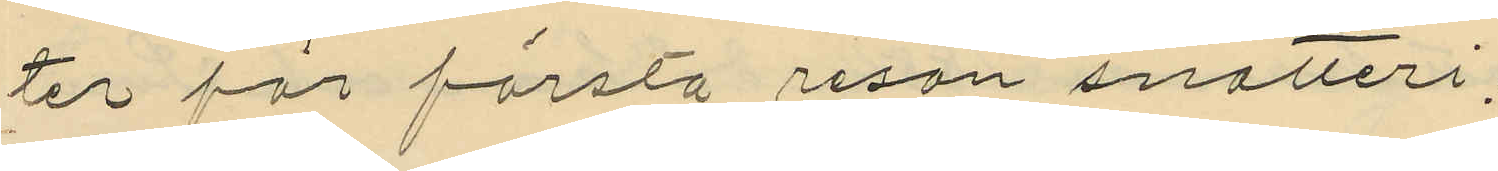ter för första resan snatteri,
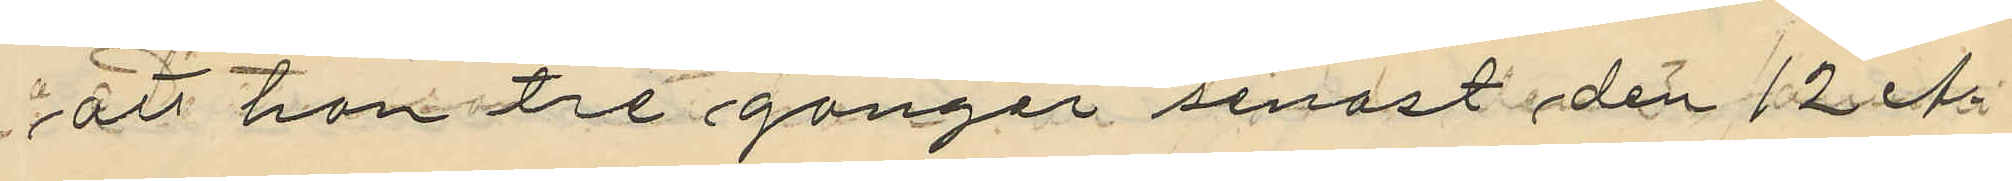att han tre gånger senast den 12 A¬
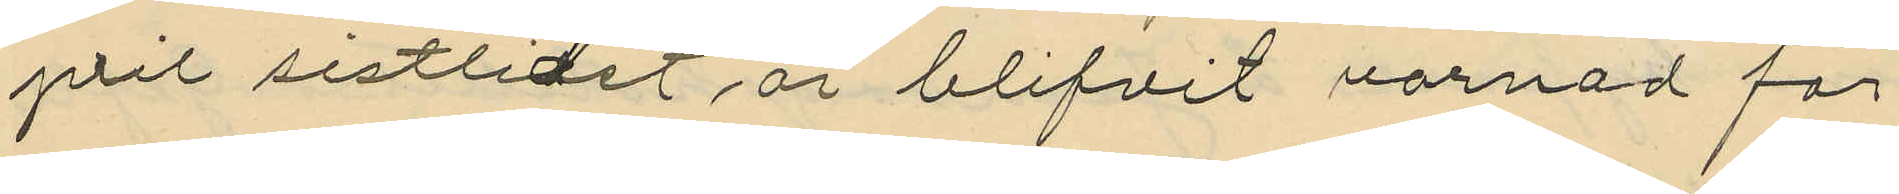pril sistlidet år blifvit varnad för
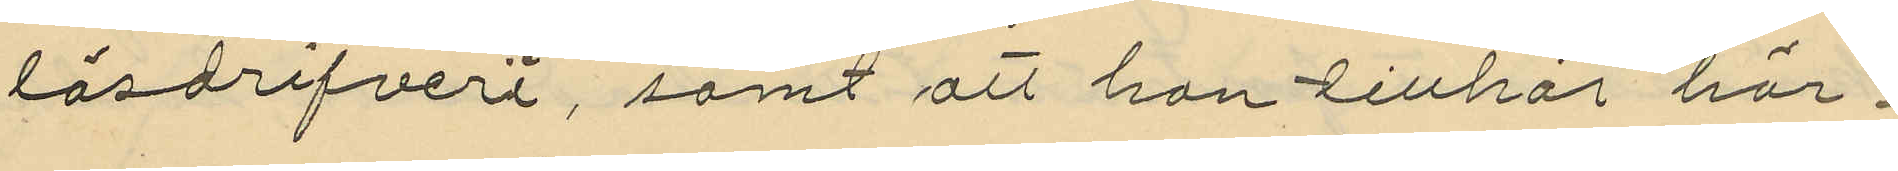lösdrifveri, samt att han tillhör här¬
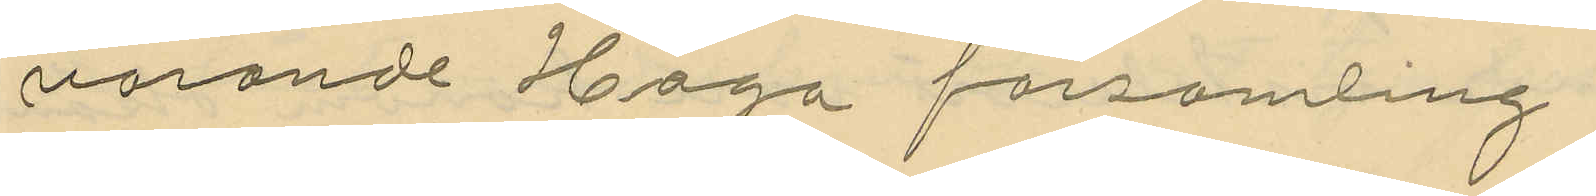varande Haga församling.
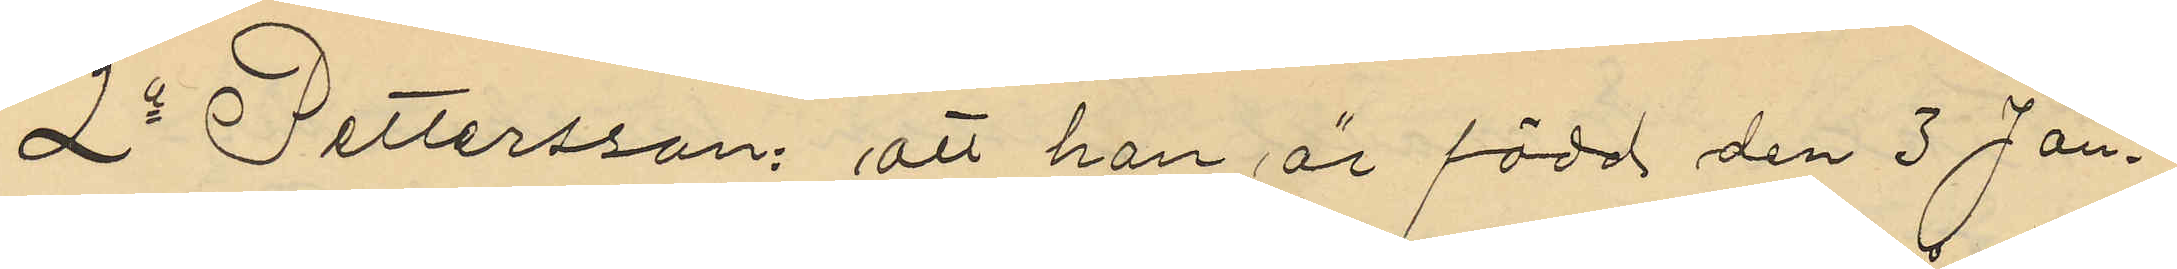2o Pettersson: att han är född den 3 Jan¬
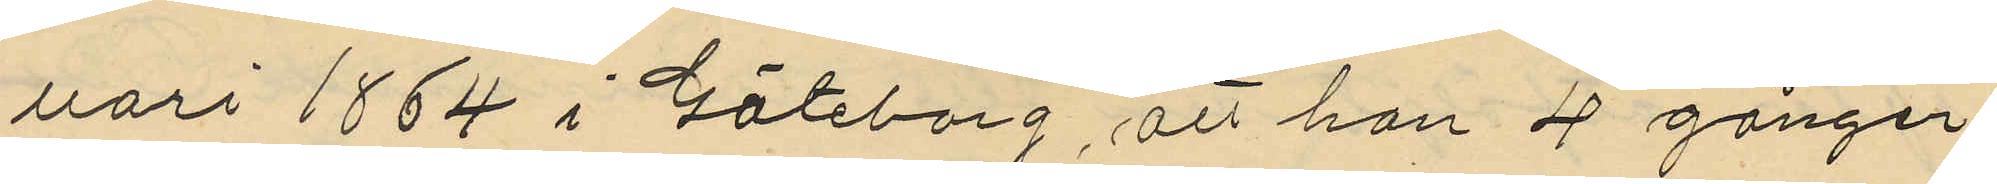uari 1864 i Göteborg, att han 4 gånger
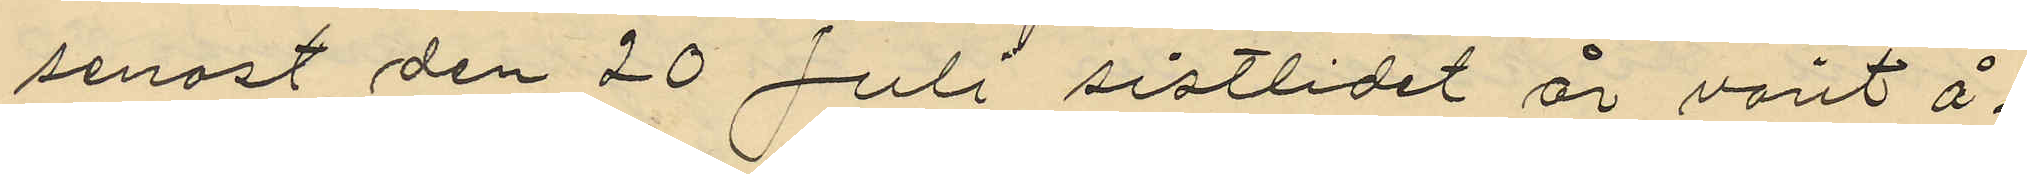senast den 20 Juli sistlidet år varit å¬
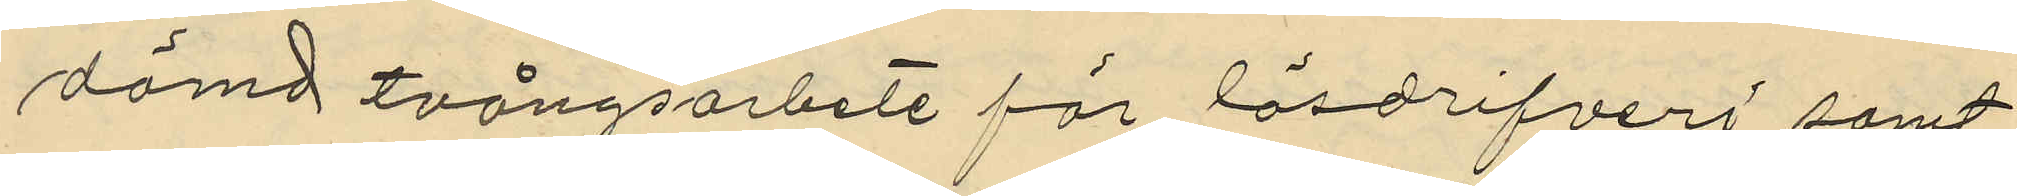dömd tvångsarbete för lösdrifveri samt
